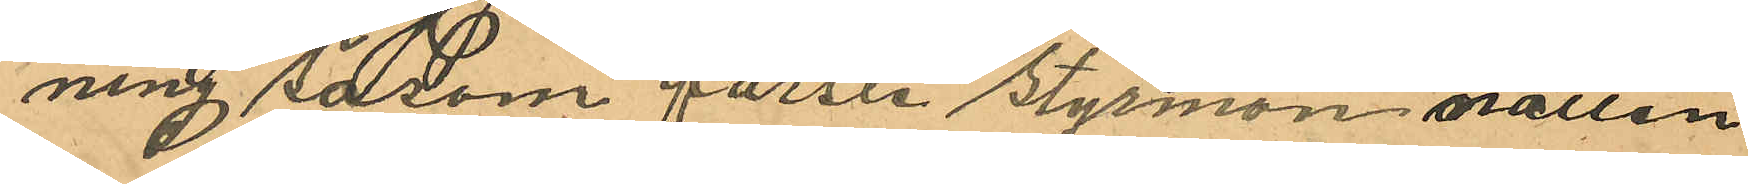ning såsom förste styrman natten
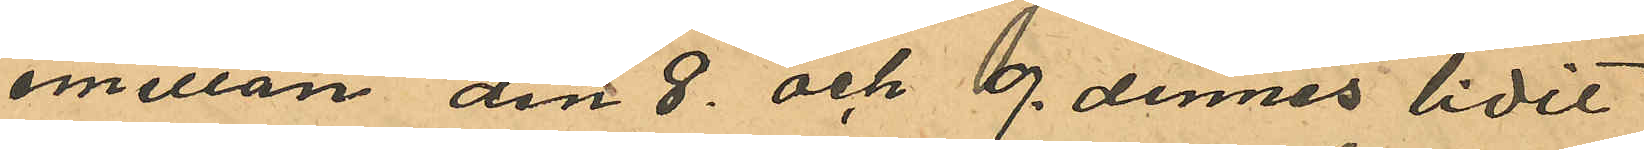emellan den 8 och 9 dennes lidit
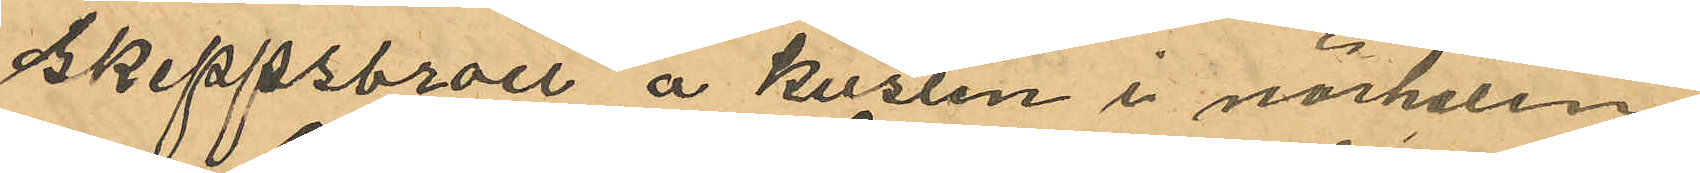skeppsbrott å kusten i närheten
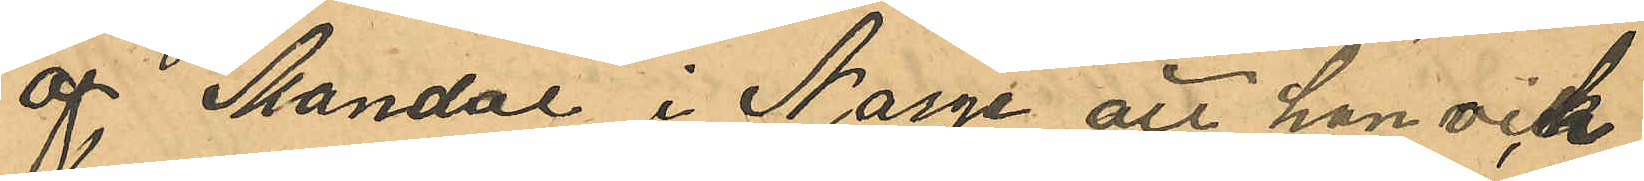af Mandal i Norge att han och
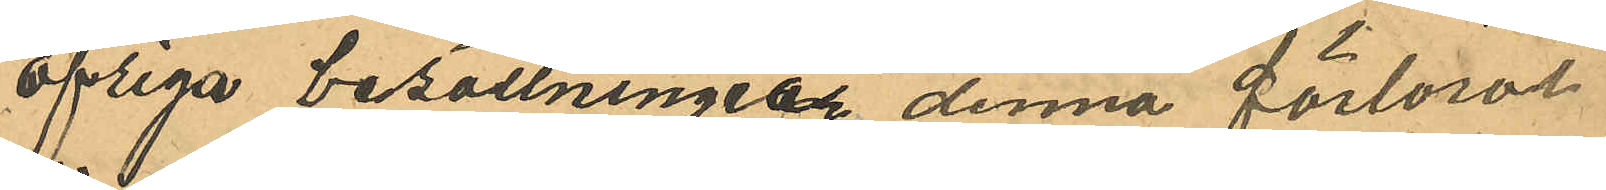öfriga besättningen denna förlorat
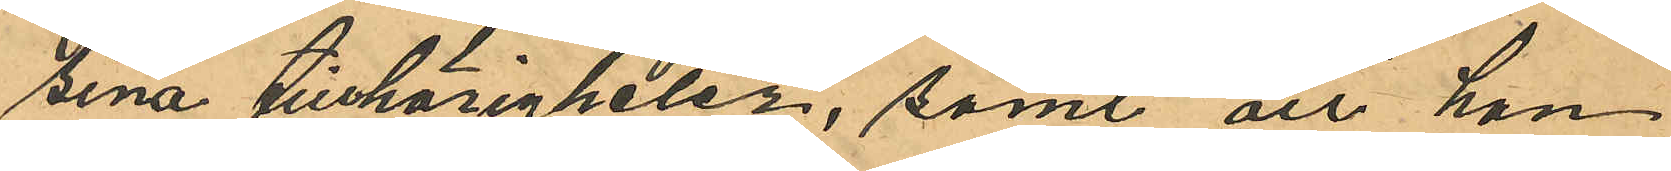sina tillhörigheter, samt att han
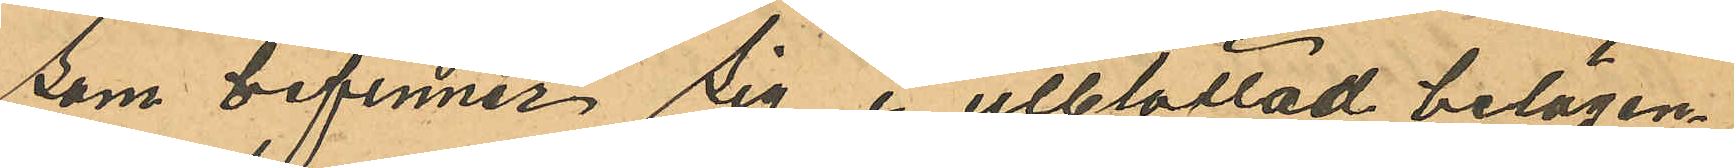som befinner sig i utblottad belägen¬
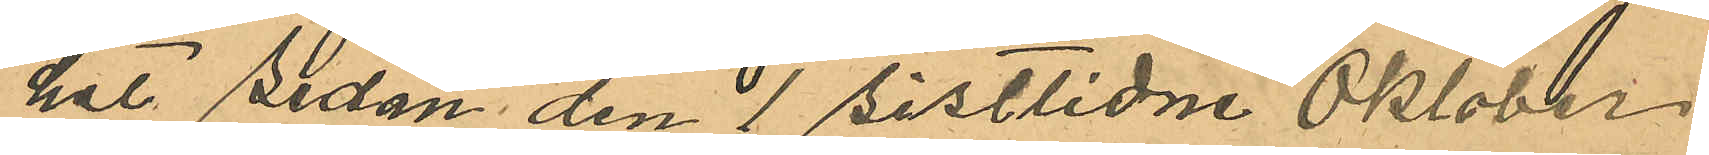het sedan den 1 sistlidne Oktober
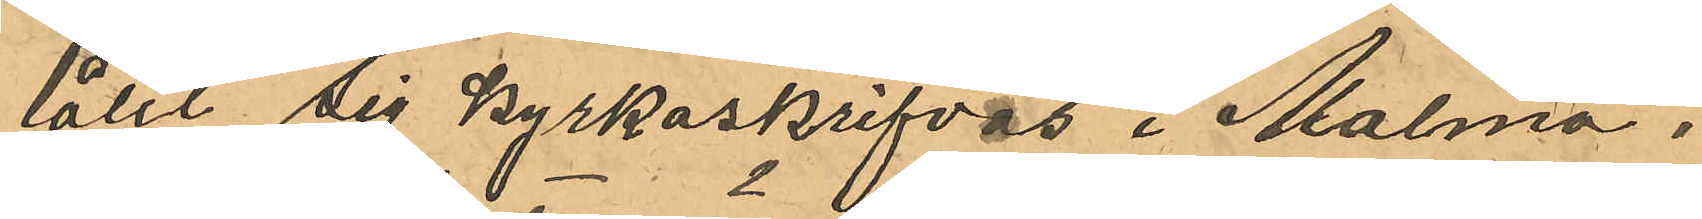lålit sig kyrkoskrifvas i Malmö,
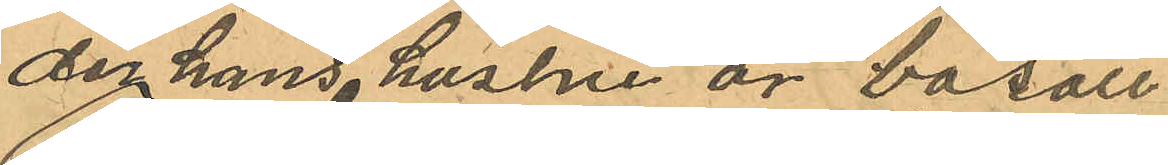der hans hustru är bosatt.
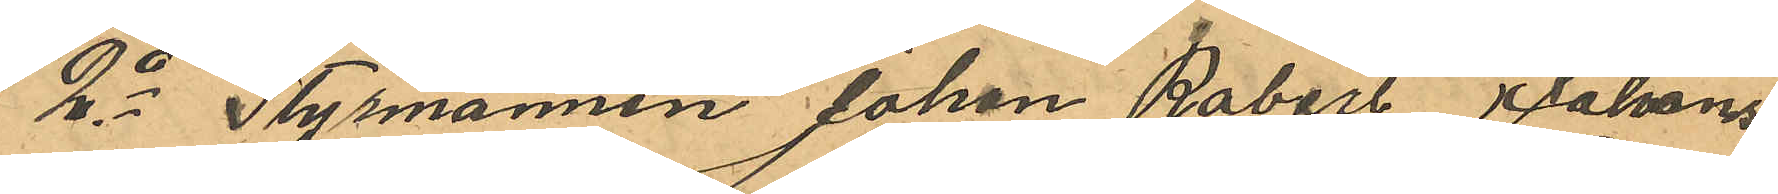2o Styrmannen Johan Robert Johans¬
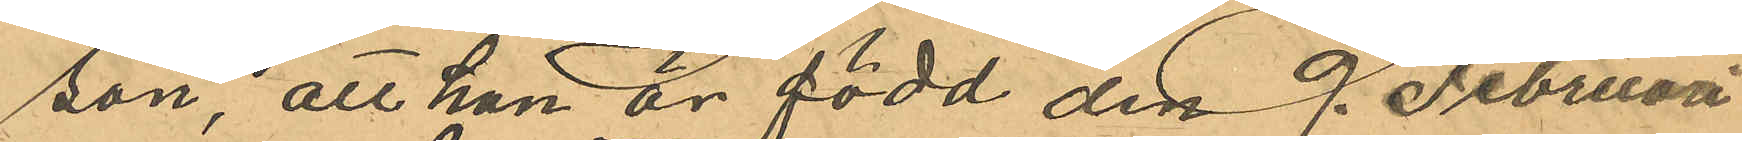son, att han är född den 9. Februari
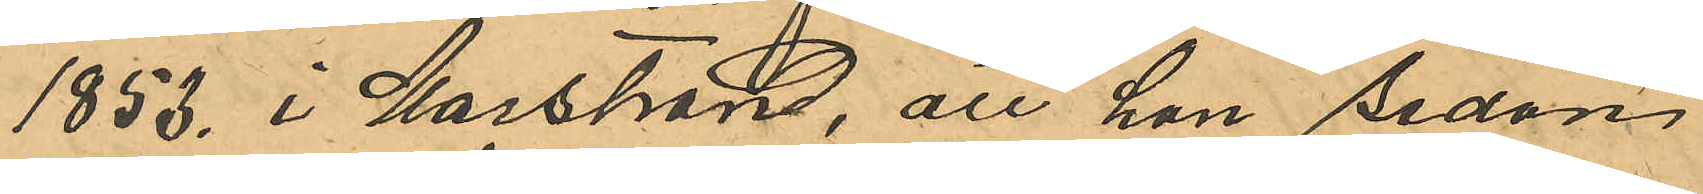1853 i Marstrand, att han sedan
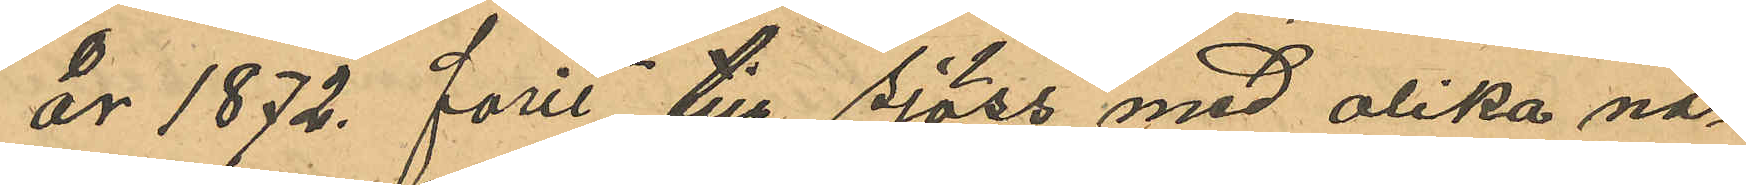år 1872 farit till sjöss med olika na¬
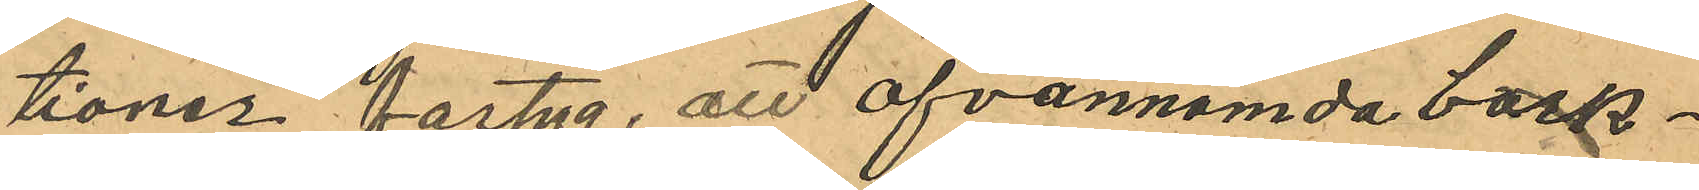tioner fartyg, att ofvannämda bark¬
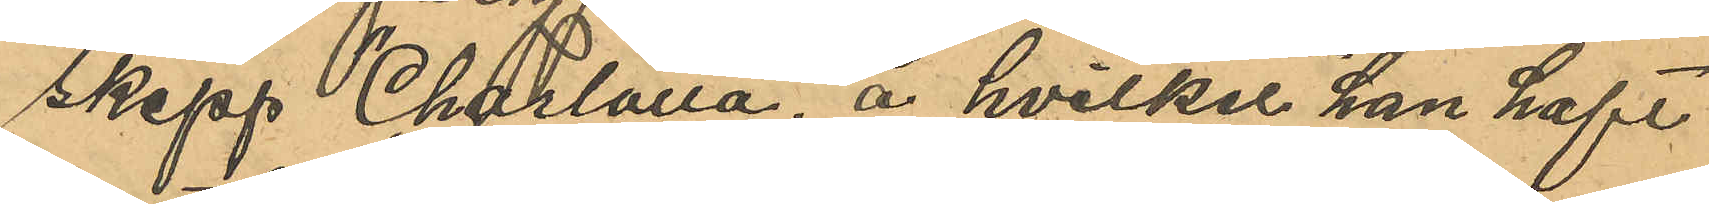skepp "Charlotta", å hvilket han haft
